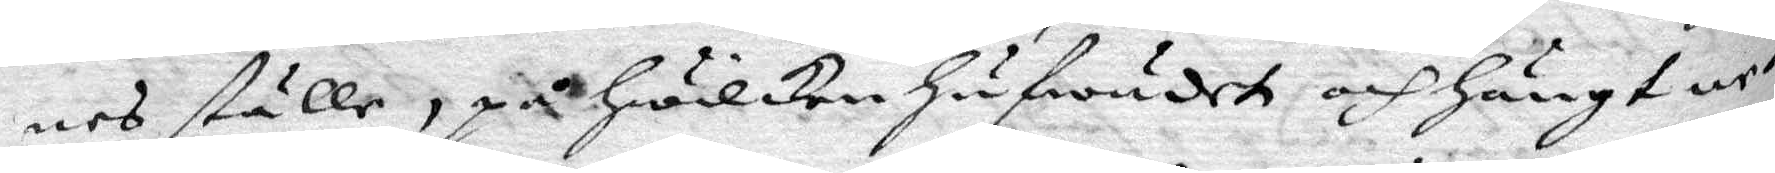nes ställe, på hwilken hufwudet och hängt un¬
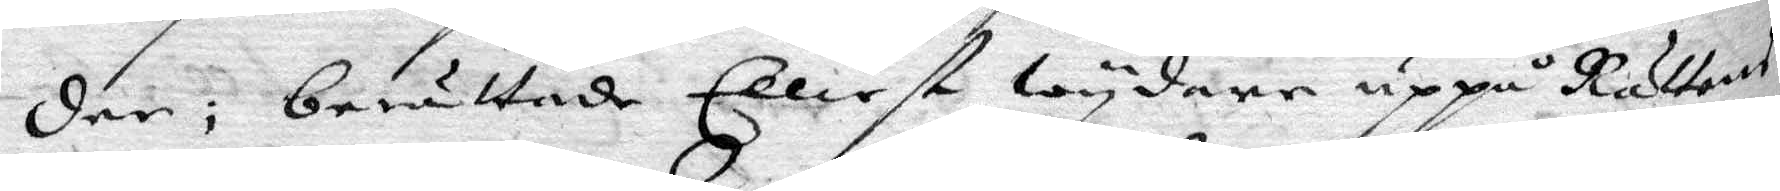der, berättade Elliest wydare uppå Rättens
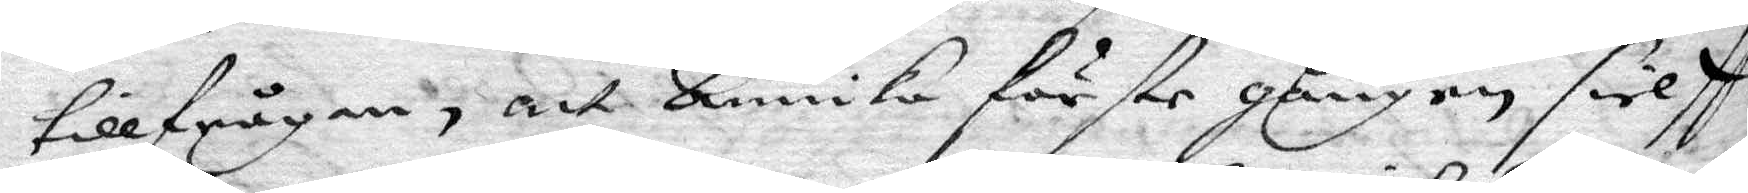tillfrågan, att Annika förste gången sielff
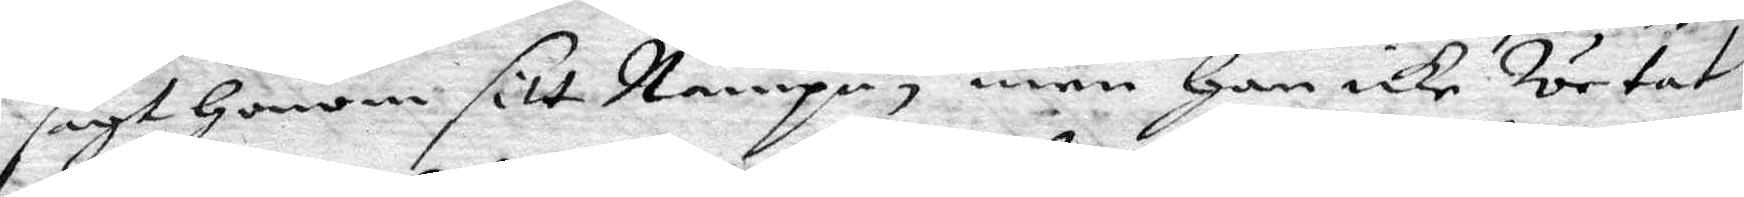sagt Honom sitt Nampn, men Han icke wetat
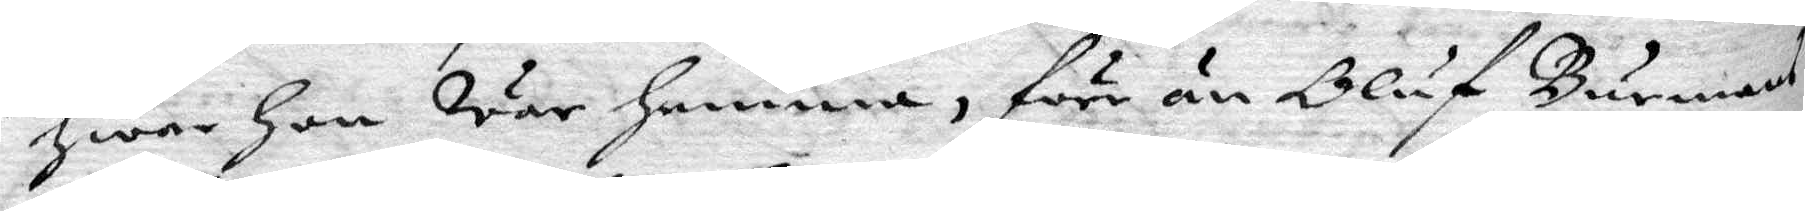Hwar Hon war hemma, förr än Oluf Burmans
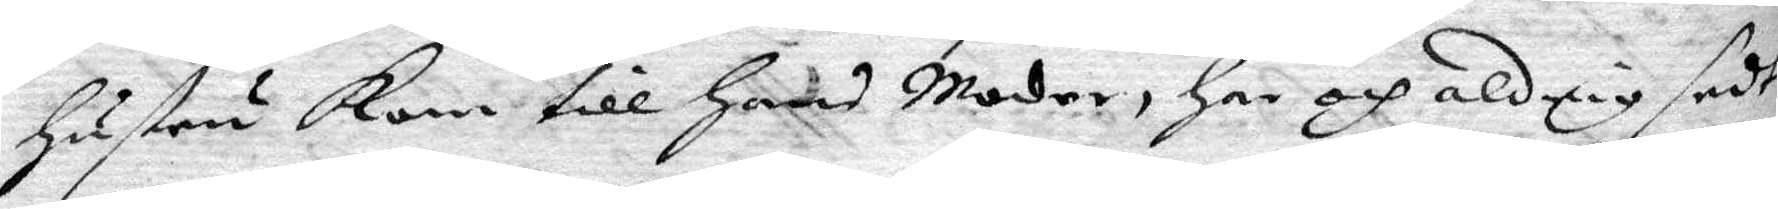Hustru kom till Hans Moder, Har och aldrig sedt
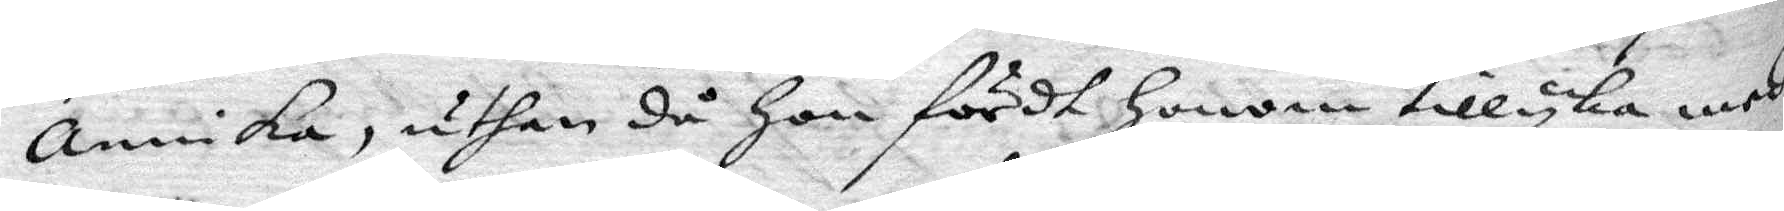annika, uthan då Hon fördt Honom tillyka med
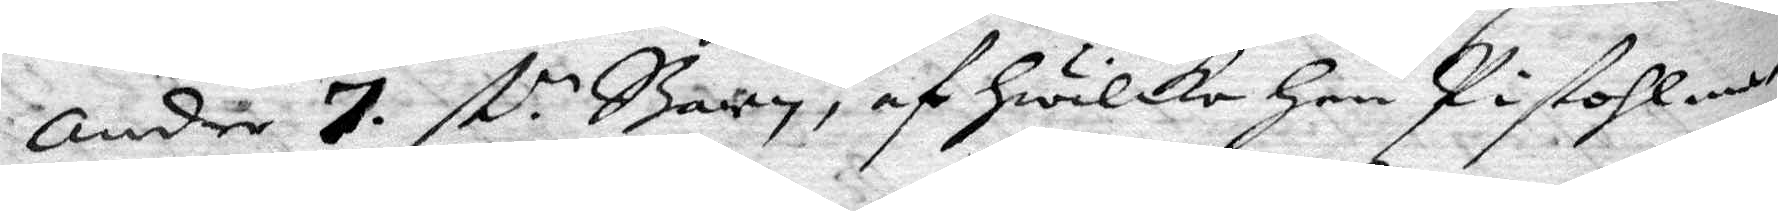Andre 7. st. Barn, af Hwilka Han Pistohlma¬
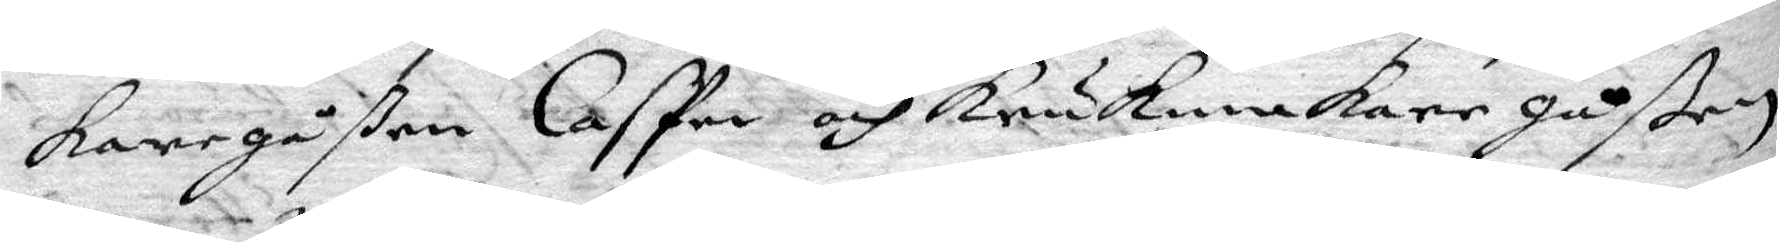kare gåßen CasPer och Krukmakare gåßen
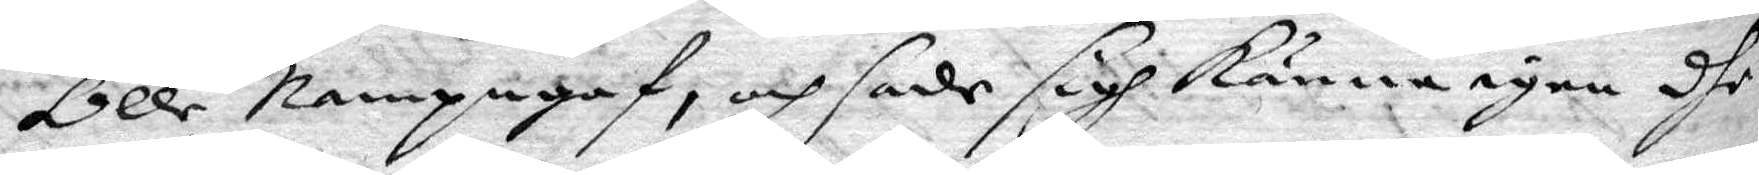Olle Nampngaf, och sade sig känna igen dhe
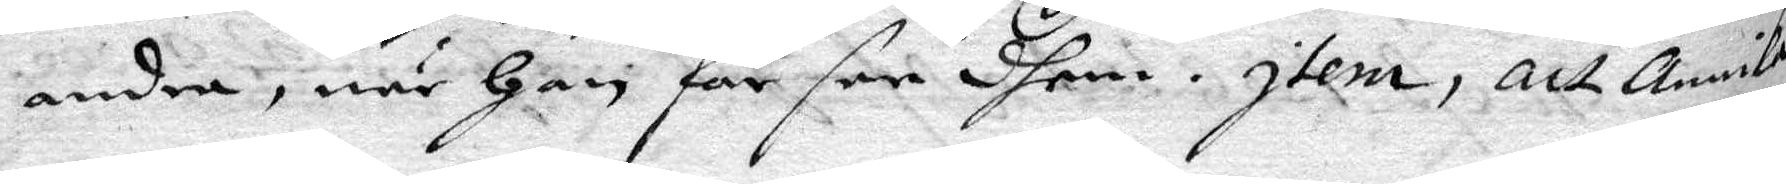andra, när Han får see dhem. Item, att Annika
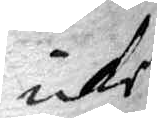icke
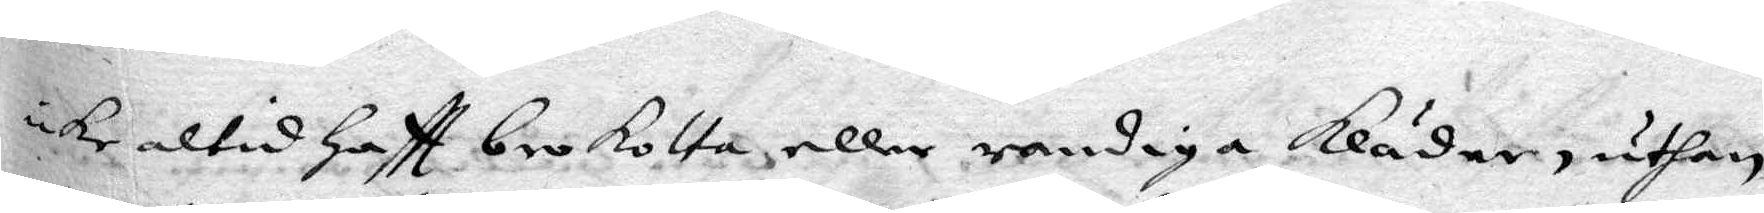icke altid Haftt brokotta eller randiga Kläder, uthan
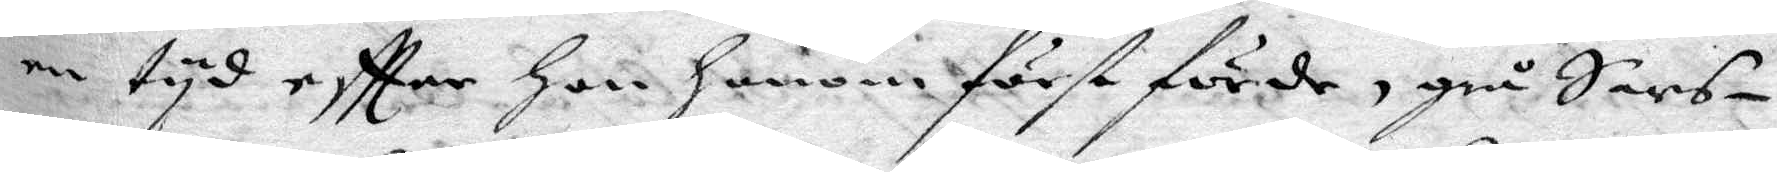en tyd eftter Hon Honom först förde, grå Sars¬
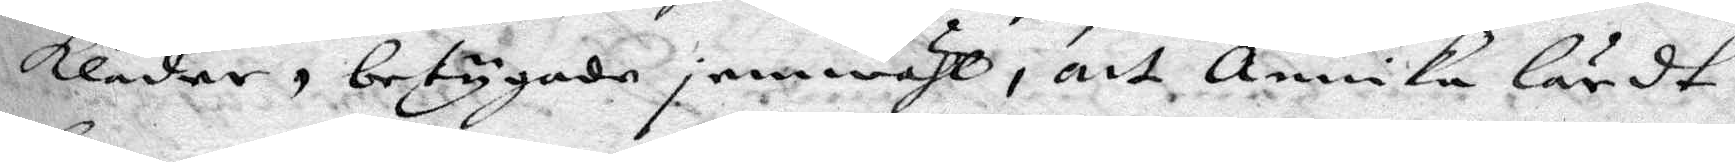kläder, betygade jemwähl, att Annika lärdt
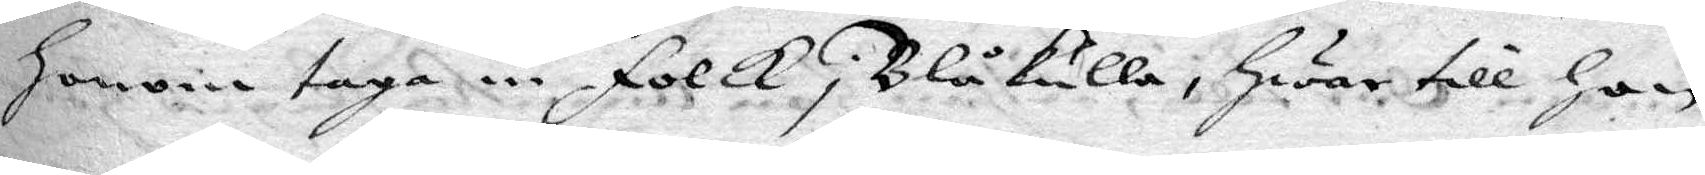Honom taga in folk i Blåkulla; Hwar till Hon
